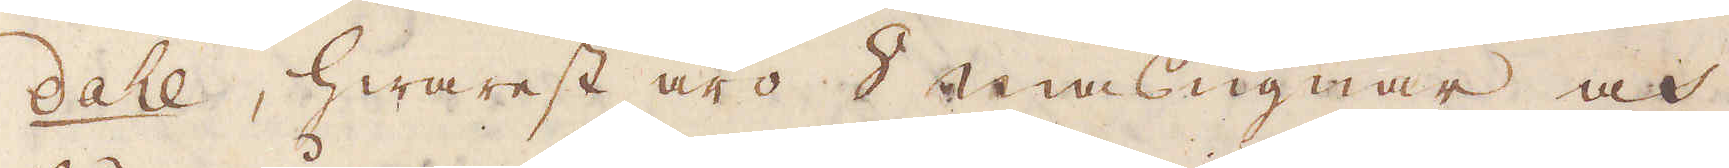dahl, hwarest äro 8 masugnar och
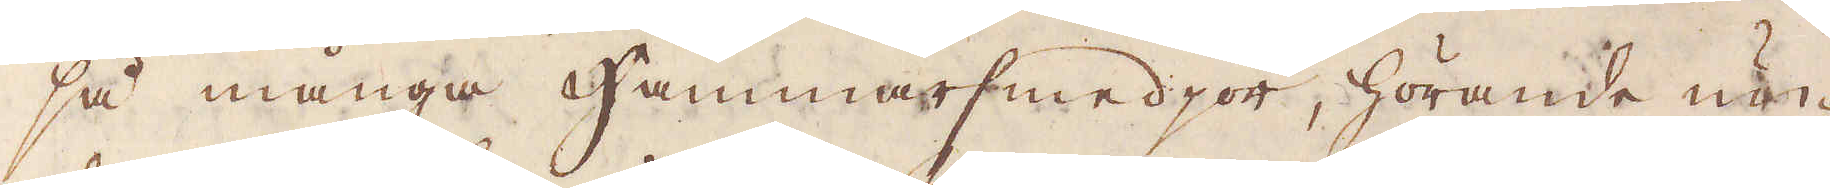så många Hammarsmedjor, hörande un-
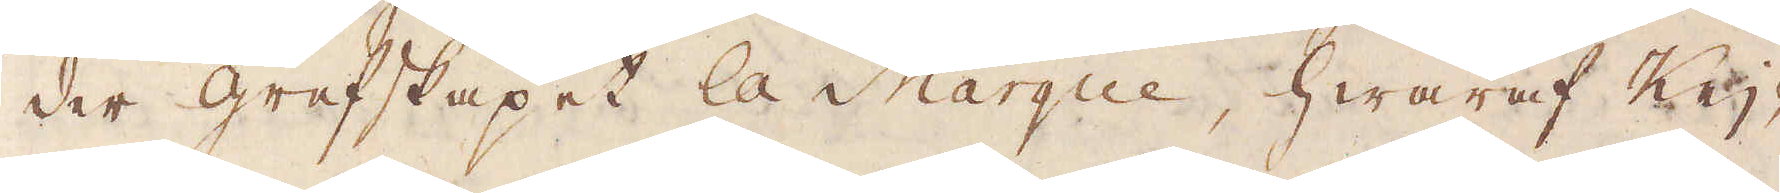der grefskapet la Margue, hwaraf Keij-
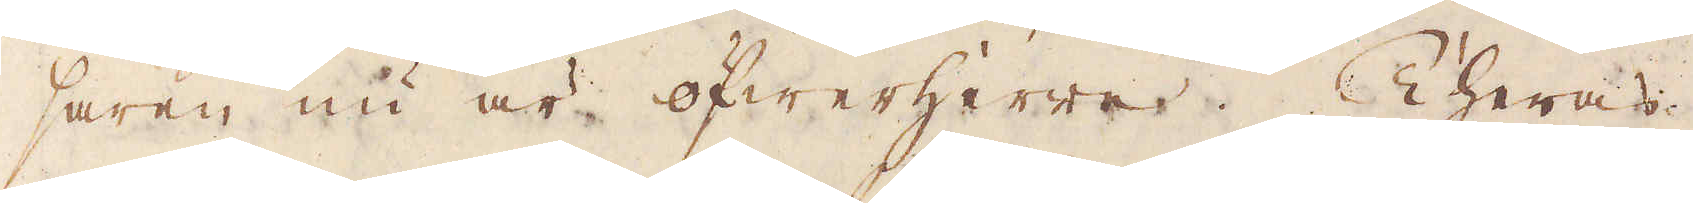saren nu är öfwerherre. Theras
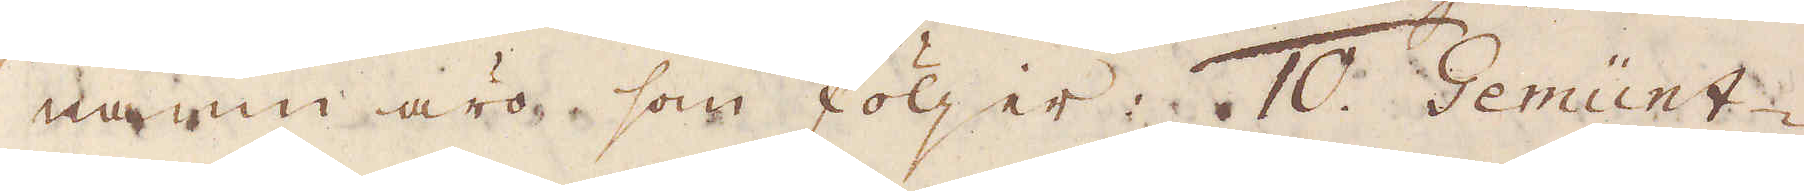namn äro som följer. 10. Gemünt
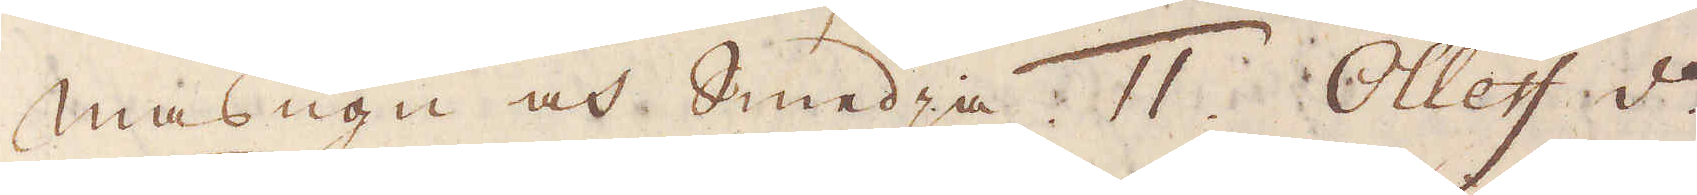Masugn och Smedja. 11. Olleff d:o
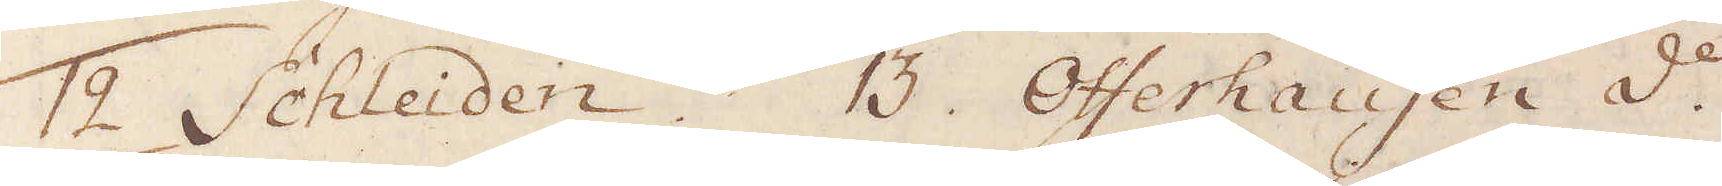12. Schleiden. 13. Offerhausen d:o
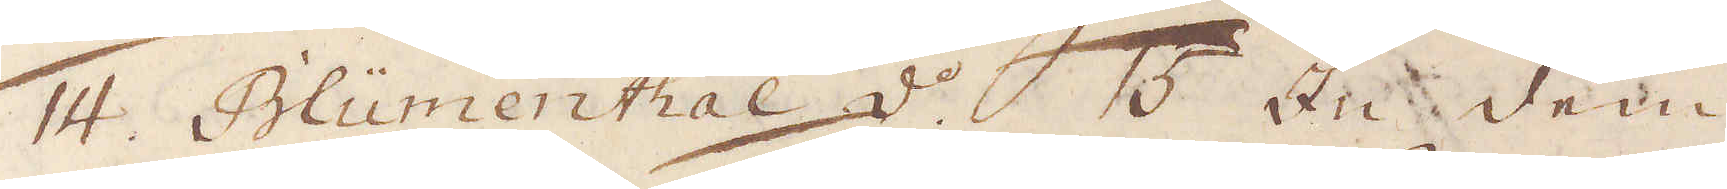14. Blümenthal d:o  15 Zu dem
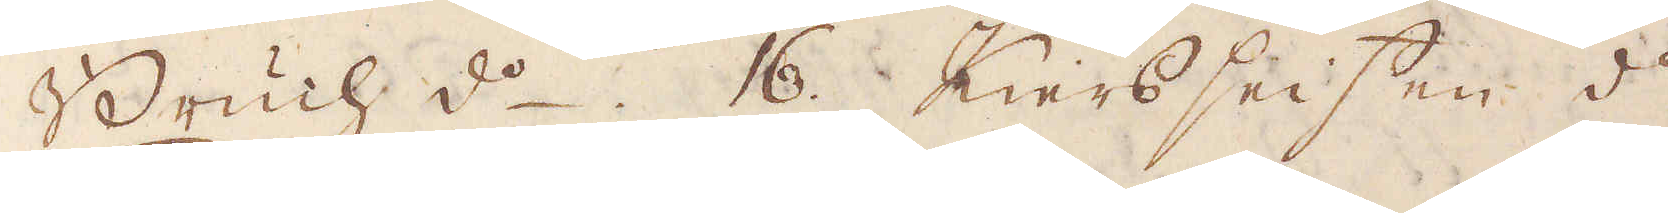Bruch d:o 16. Kiersseifen d:o.
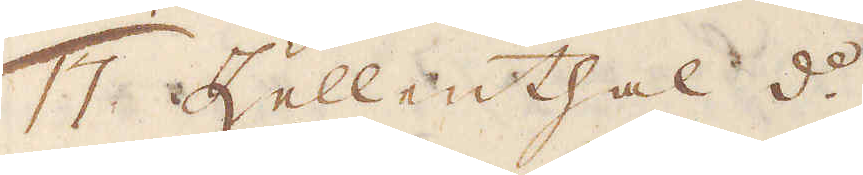17. Zellenthall 8:o.
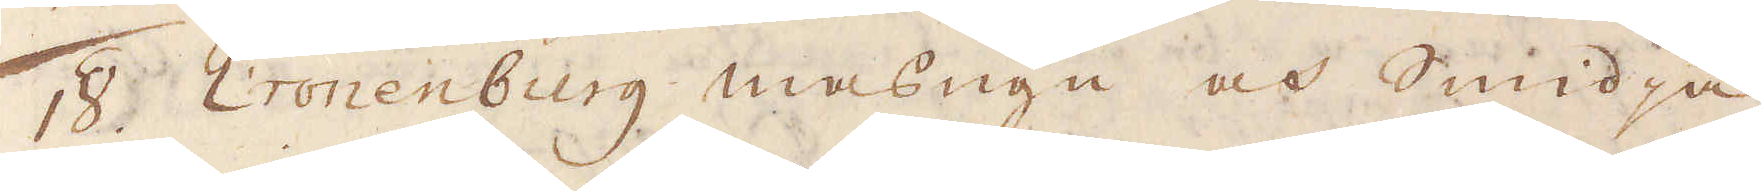18. Cronenburg masugn och Smidja
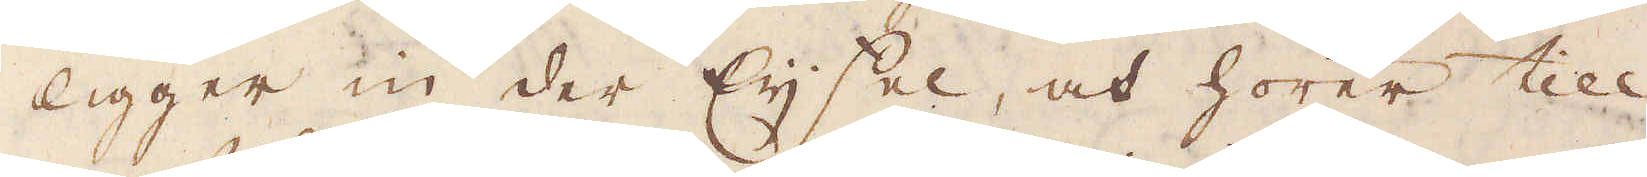ligger in der Eijfel, och hörer till
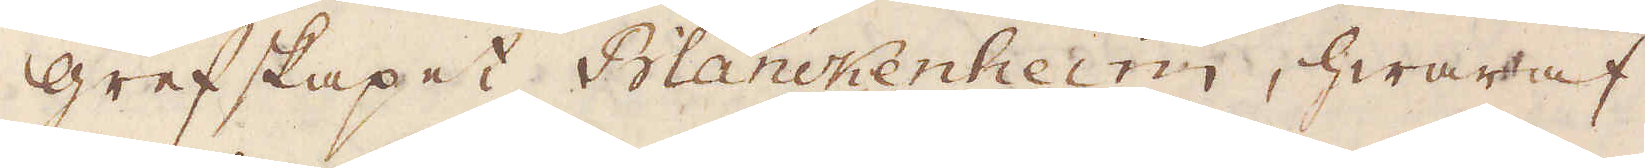grefskapet Blanckenheim, hwaraf
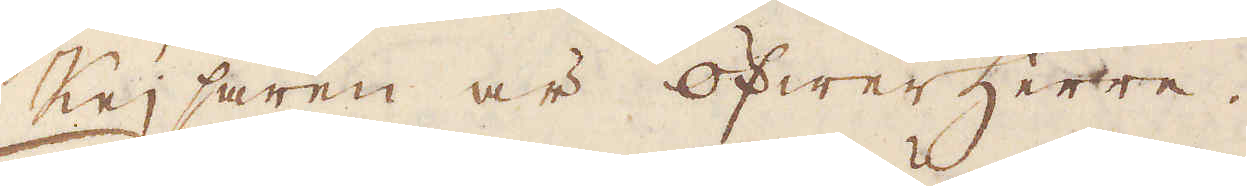Keijsaren är öfwerherre.
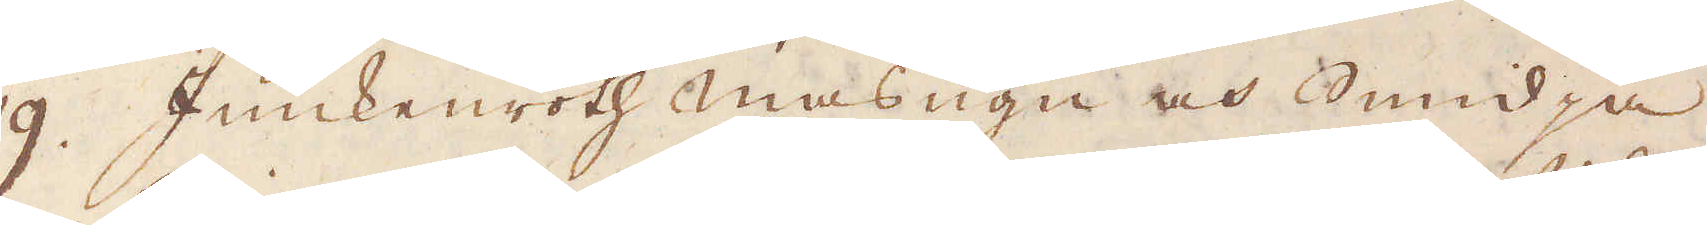19. Junkenroth masugn och Smidja
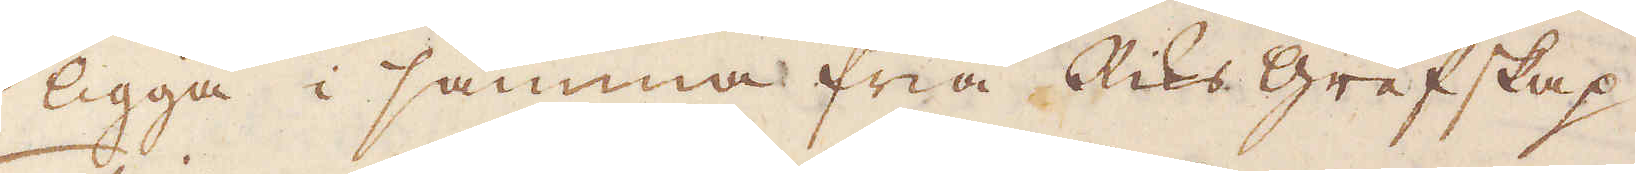ligga i samma fria Riks grefskap.
